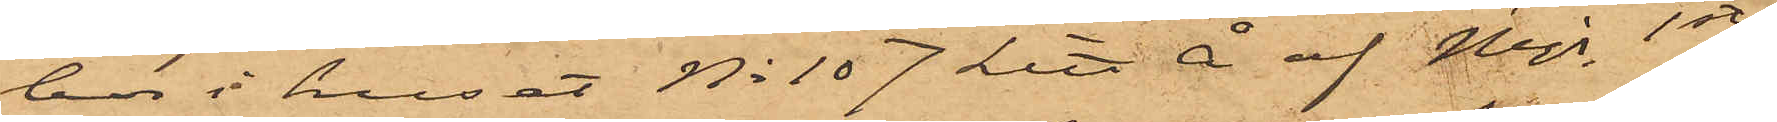bor i huset No 107 Litt Å af Majs 1ste
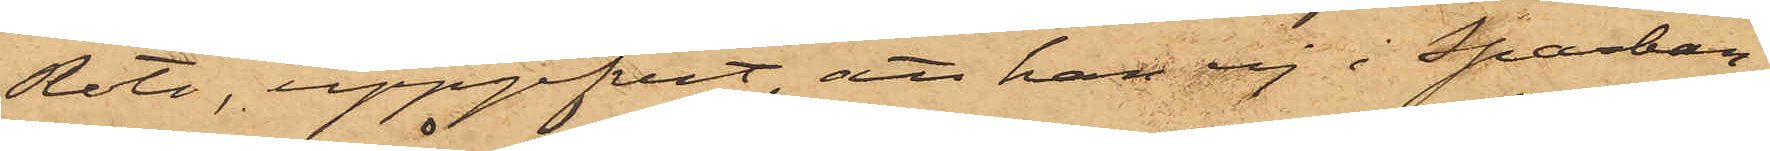Rote, uppgifvit, att han ej i Sparban¬
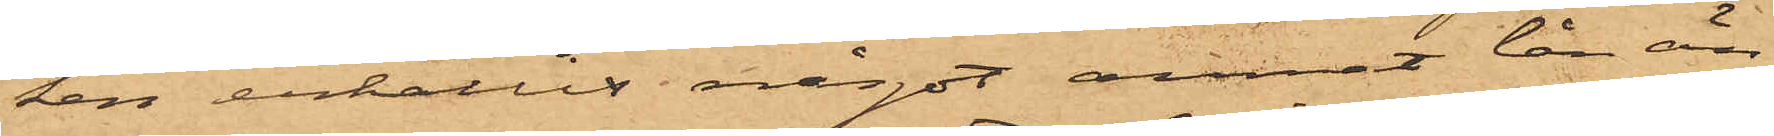ken erhållit något annat lån än
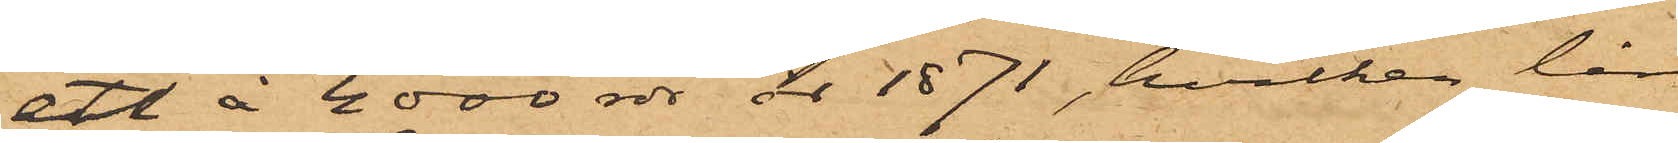ett å 4000 rdr år 1871, hvilket lån
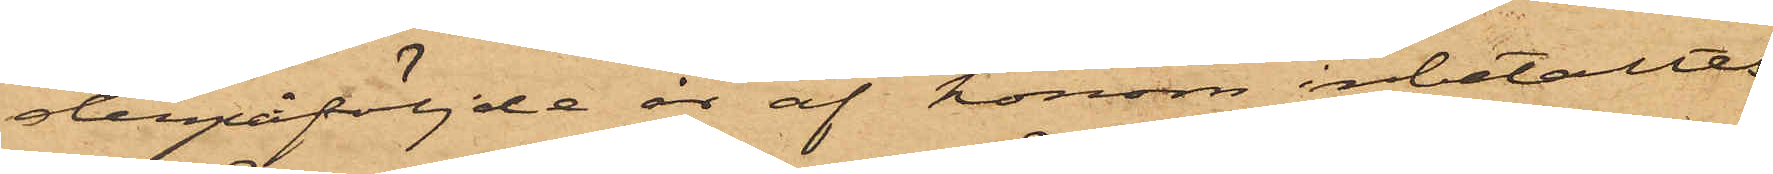detpåföljde år af honom inbetalats.
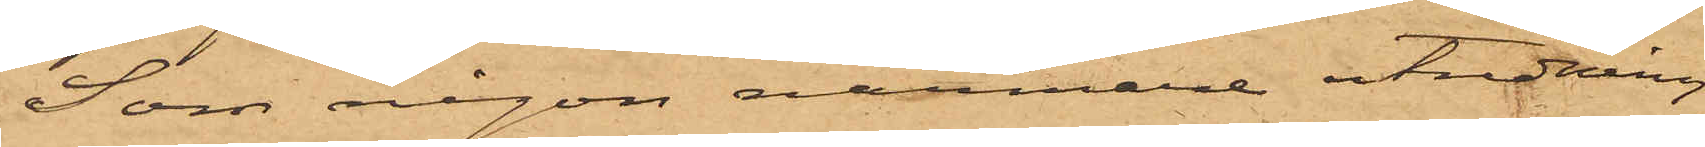Som någon närmare utredning
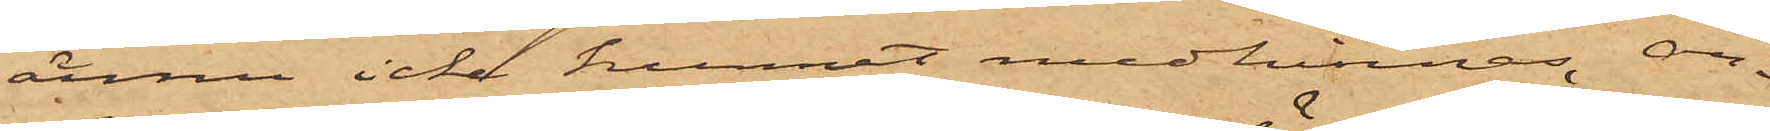ännu icke kunnat medhinnas, an¬
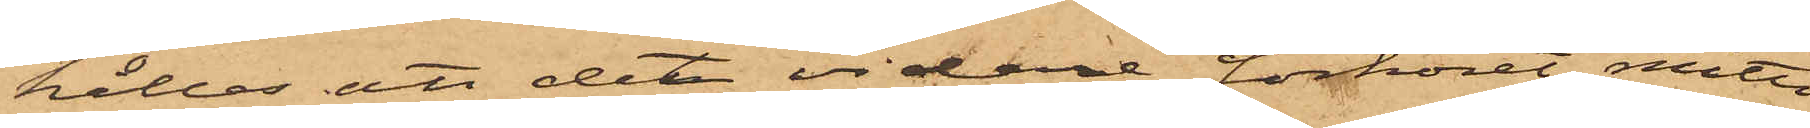hålles att det vidare förhöret måtte
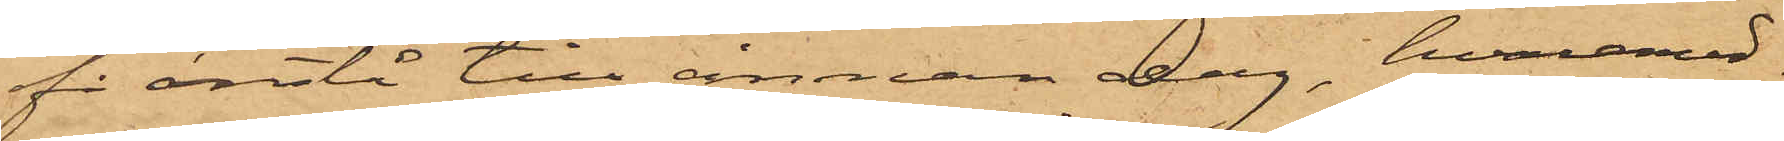få anstå till annan dag, hvaremed¬
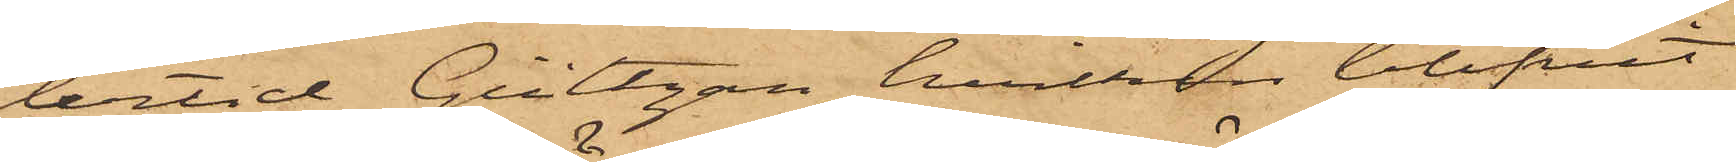lertid Gültzau, hvilken blifvit
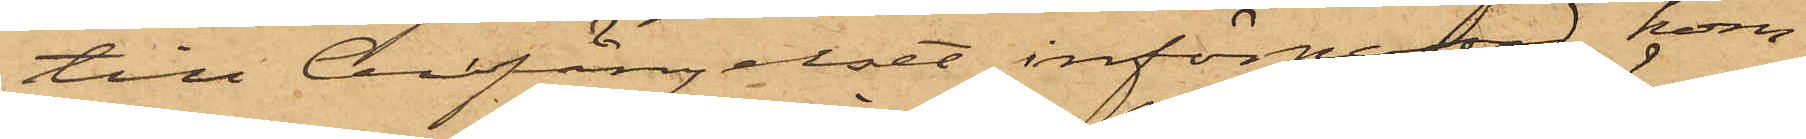till Cellfängelset införpassad, kom¬
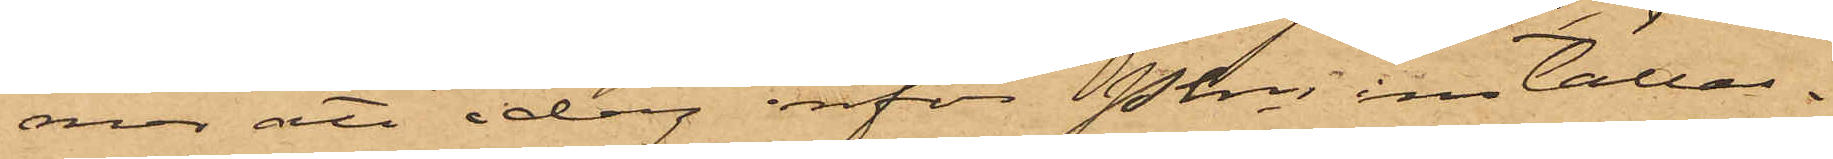mer att idag inför Pkn inkallas.
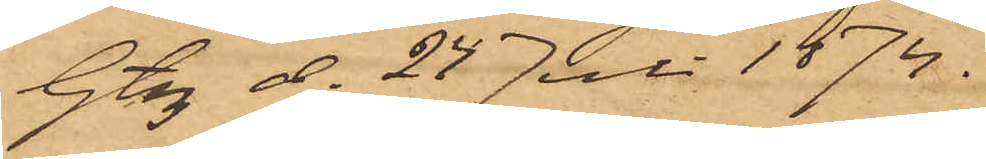Gtbg d. 24 Juli 1874.
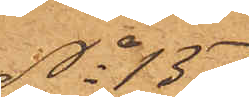No 137
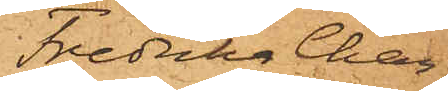Fredrika Char¬
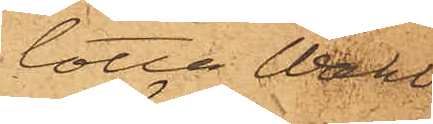lotta Wahl¬
